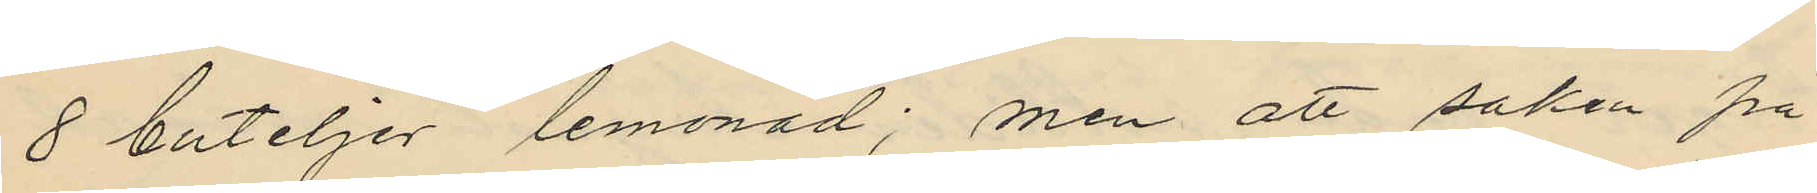8 buteljer lemonad; men att saken på
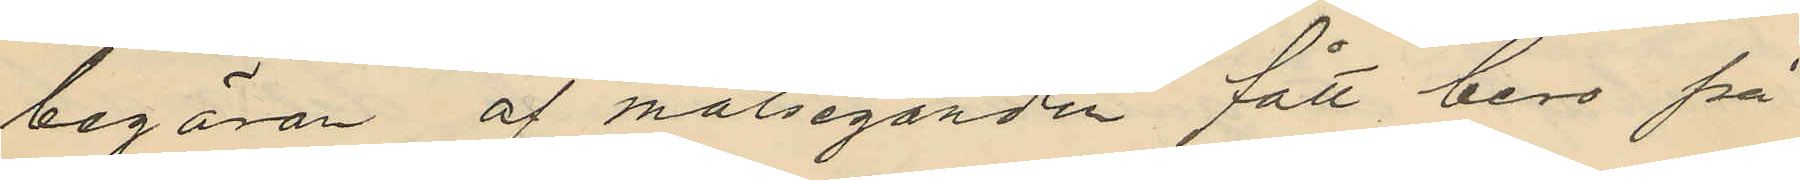begäran af målseganden fått bero på
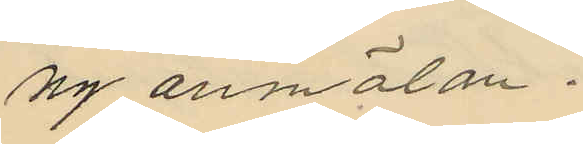ny anmälan.
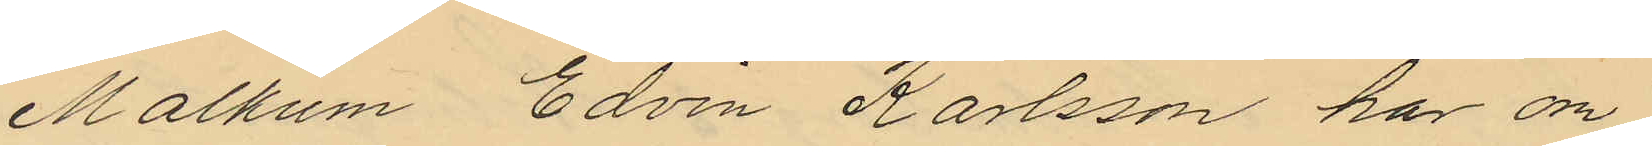Malkum Edvin Karlsson har om
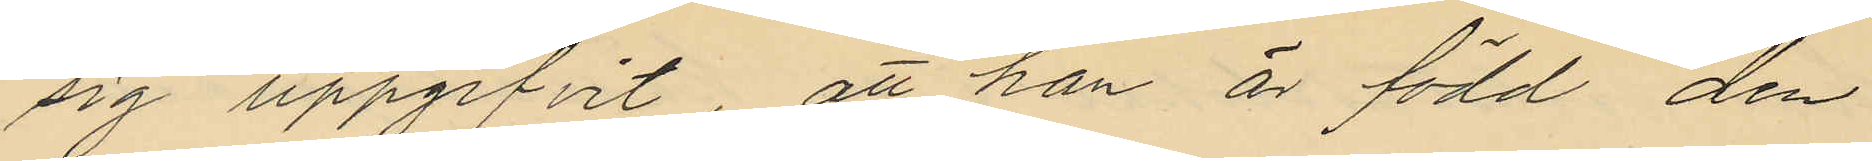sig uppgifvit att han är född den
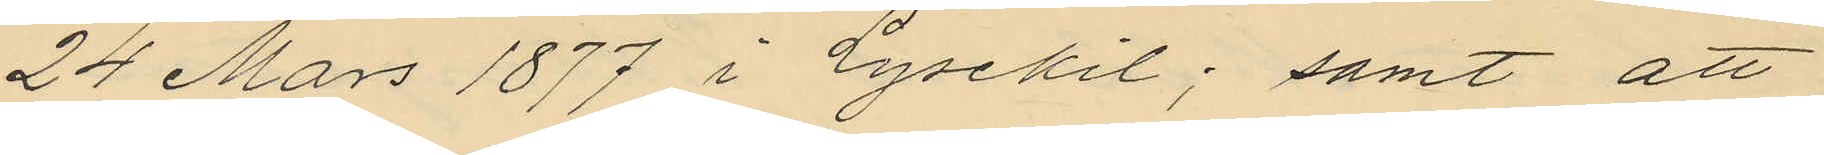24 Mars 1877 i Lysekil; samt att
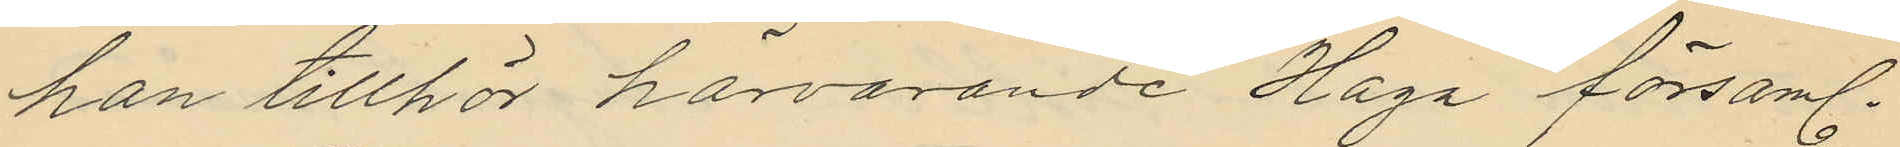han tillhör härvarande Haga församl.
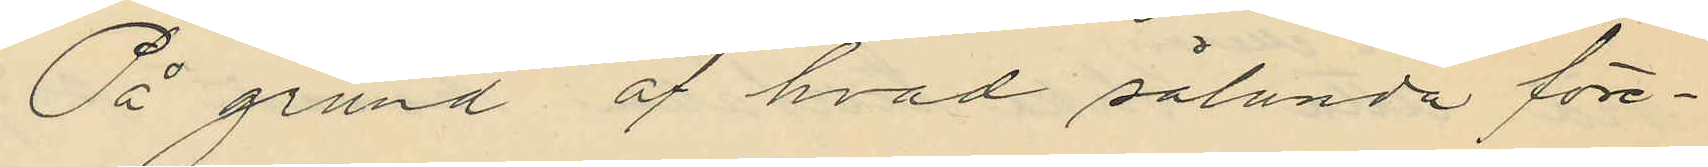På grund af hvad sålunda före¬
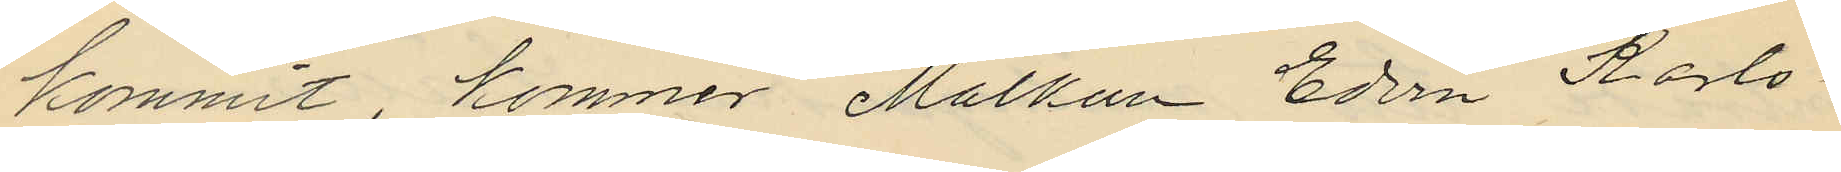kommit, kommer Malkum Edvin Karls¬
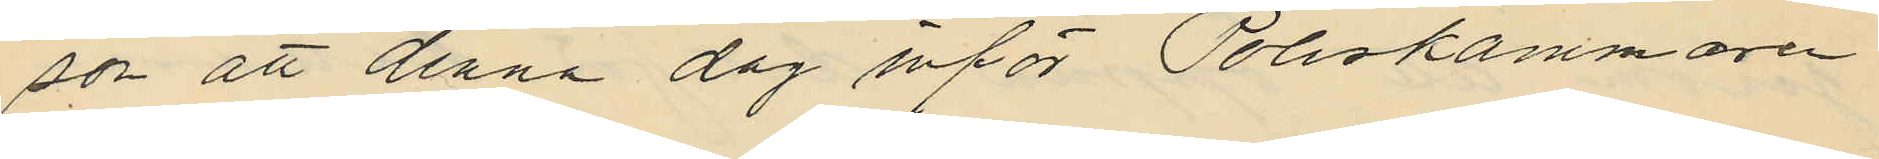son att denna dag inför Poliskammaren
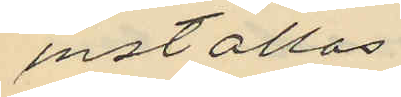inställas
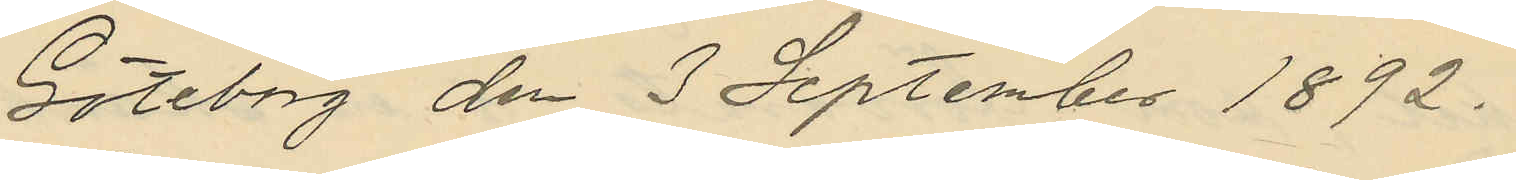Göteborg den 3 September 1892.
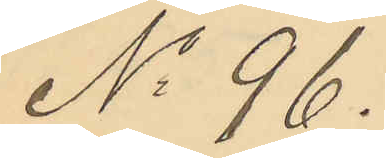No 96.
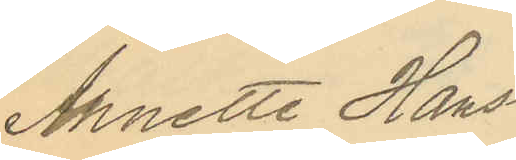Annette Hans¬
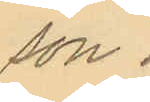son.
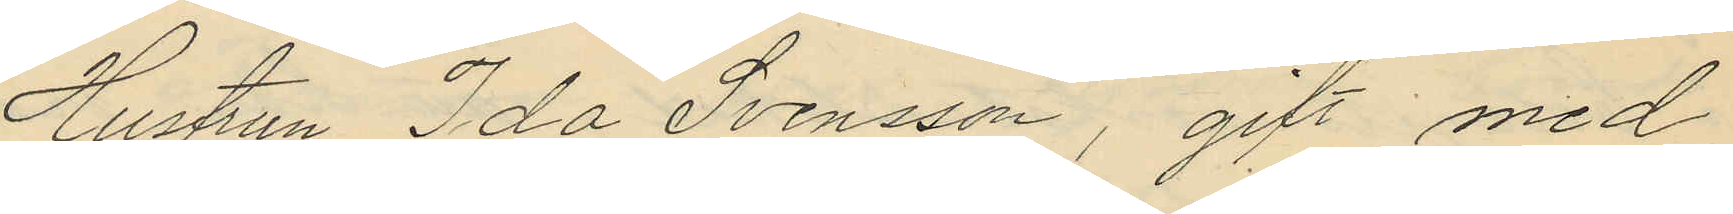Hustrun Ida Svensson, gift med
